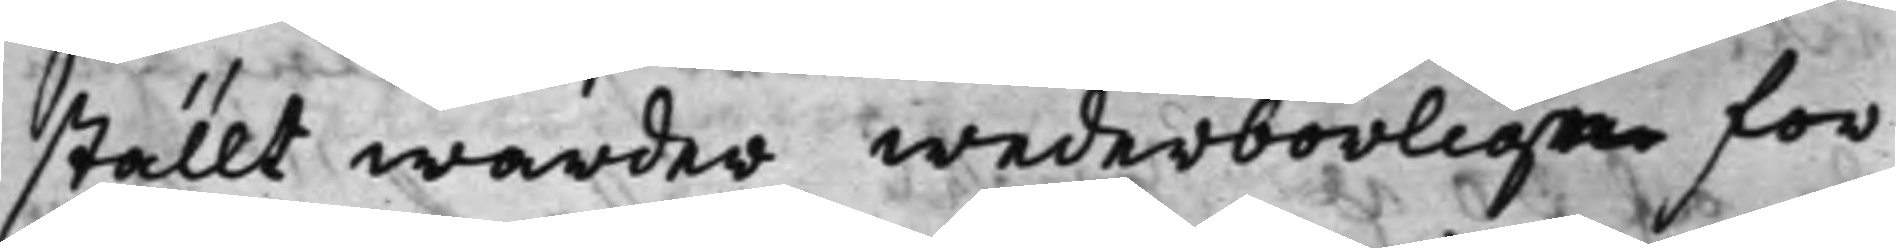ställt warder wederbörliga för¬
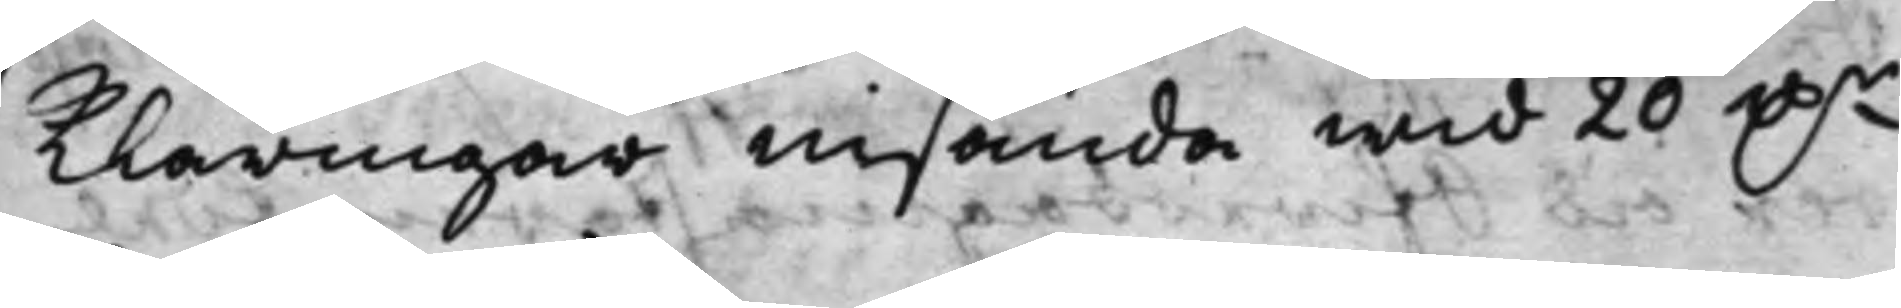klaringar insända wid 20 D.r
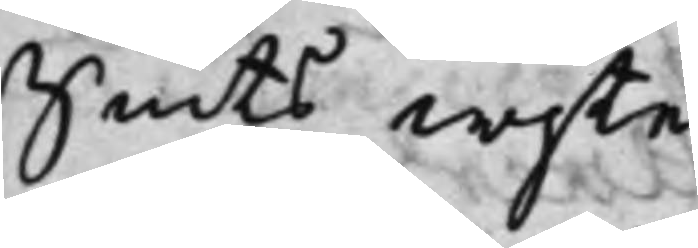Smts wijte.
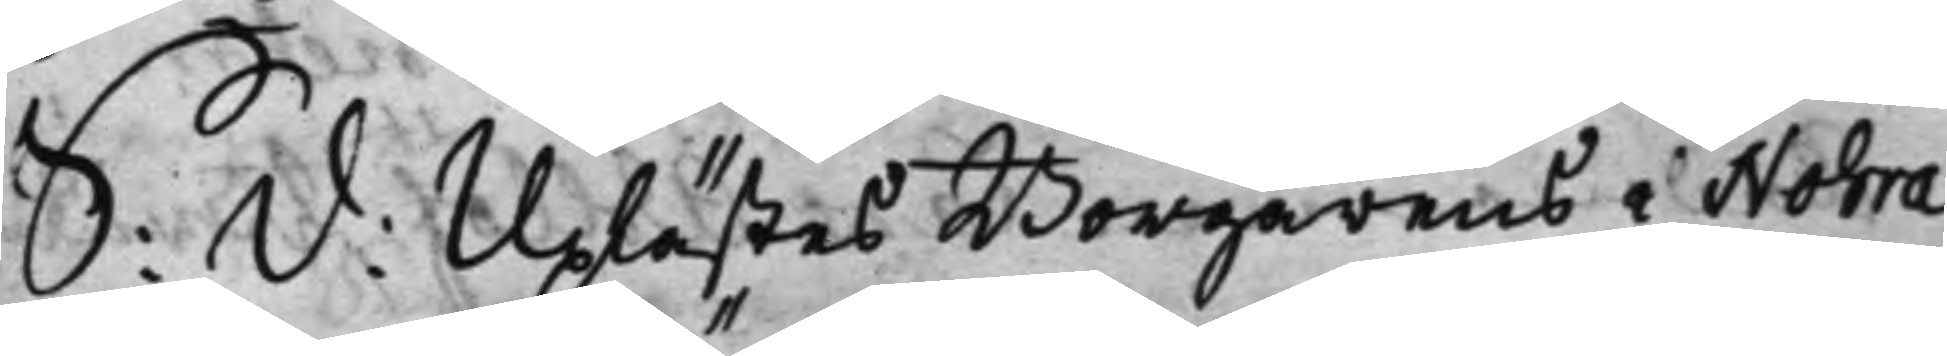S: d: Uplästes Borgarens i Nohra
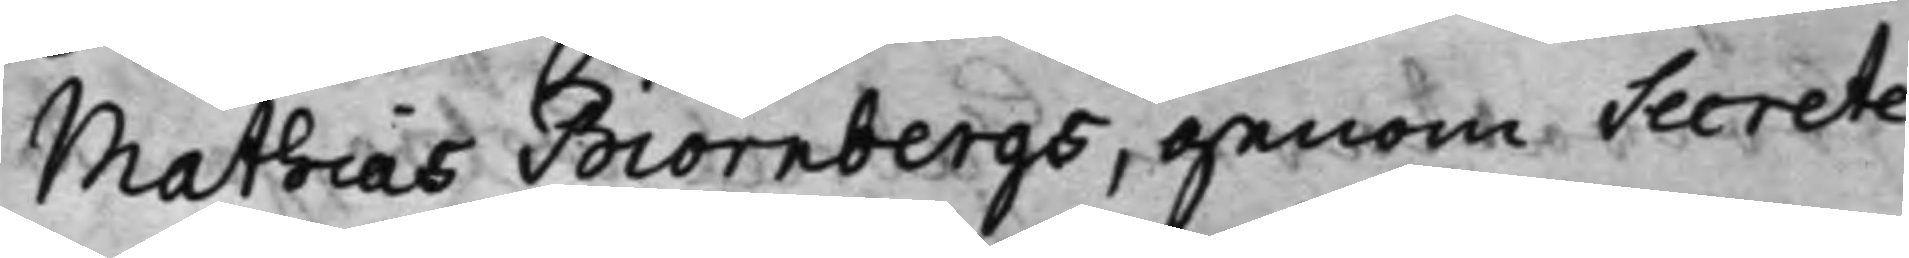Mathias Biörnbergs, genom Secrete¬
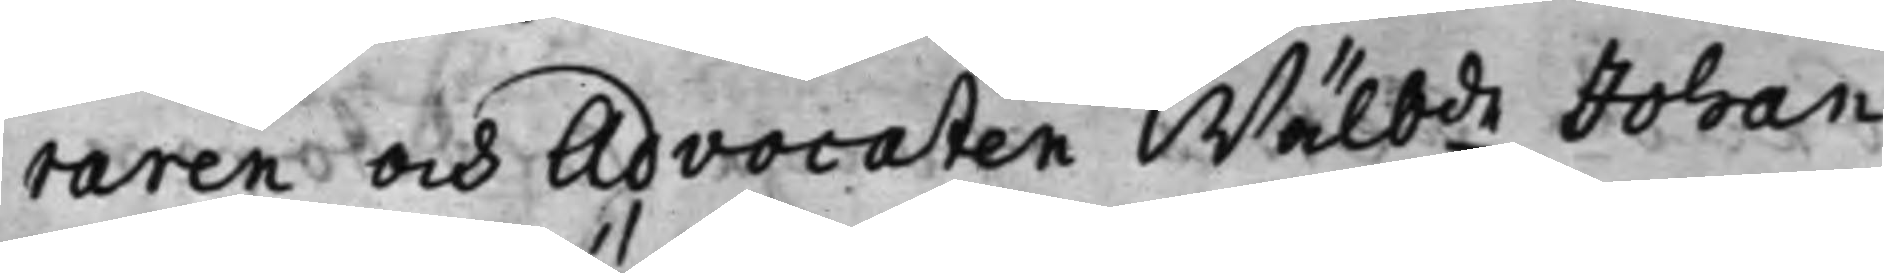raren och Advocaten Wälbde Johan
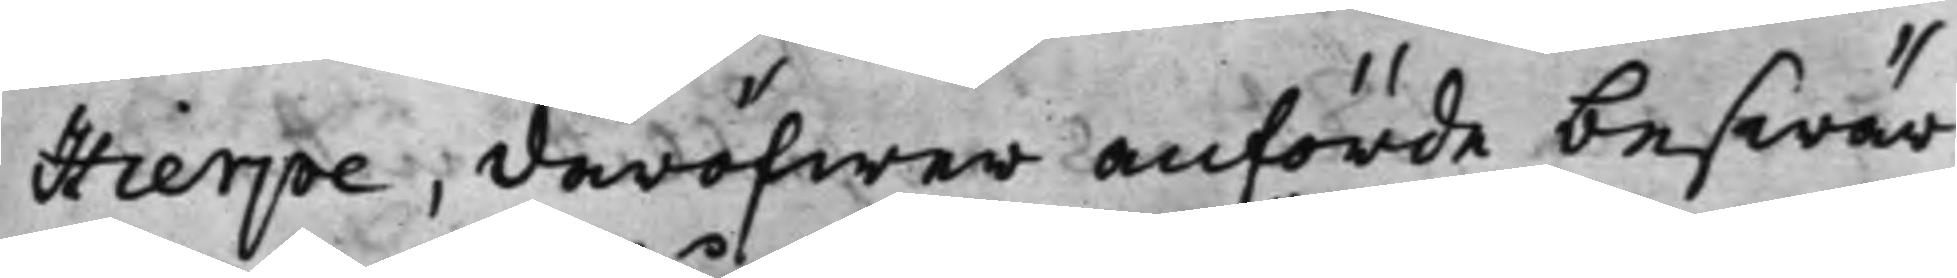Hierpe, däröfwer anförde beswär
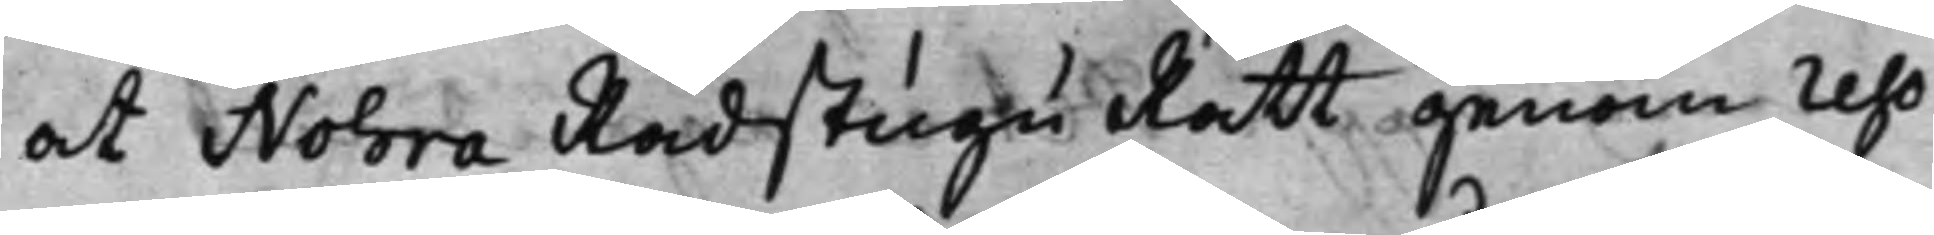at Nohra Rådstugu Rätt genom reso¬
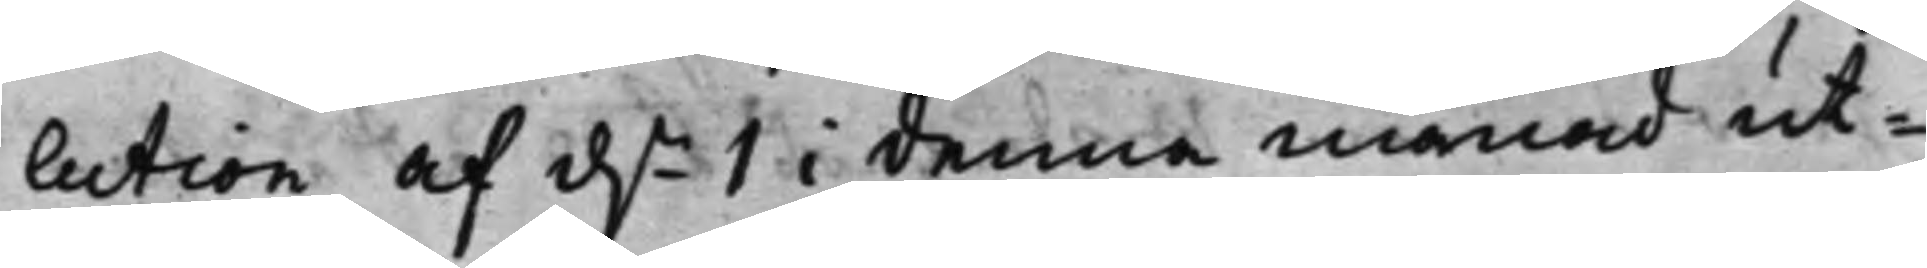lution af d.n 1 i denna månad ut¬
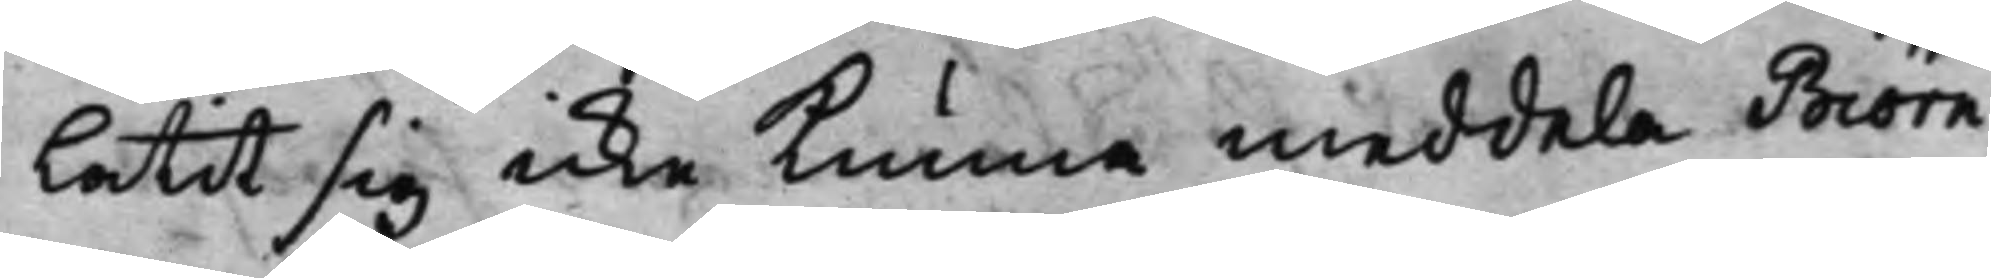låtit sig icke kunna meddela Biörn¬
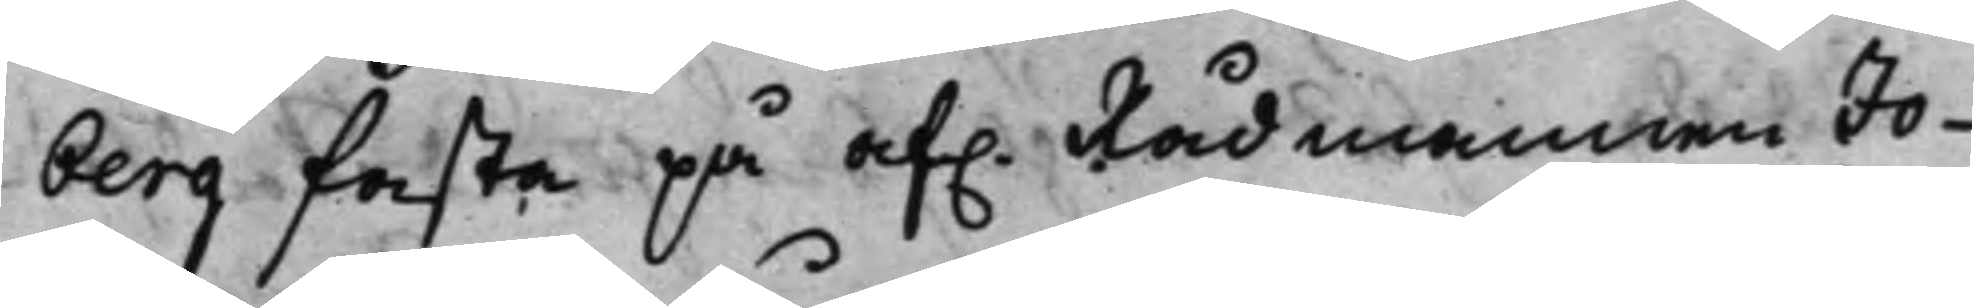berg fasta på af. Rådmannen Jo¬
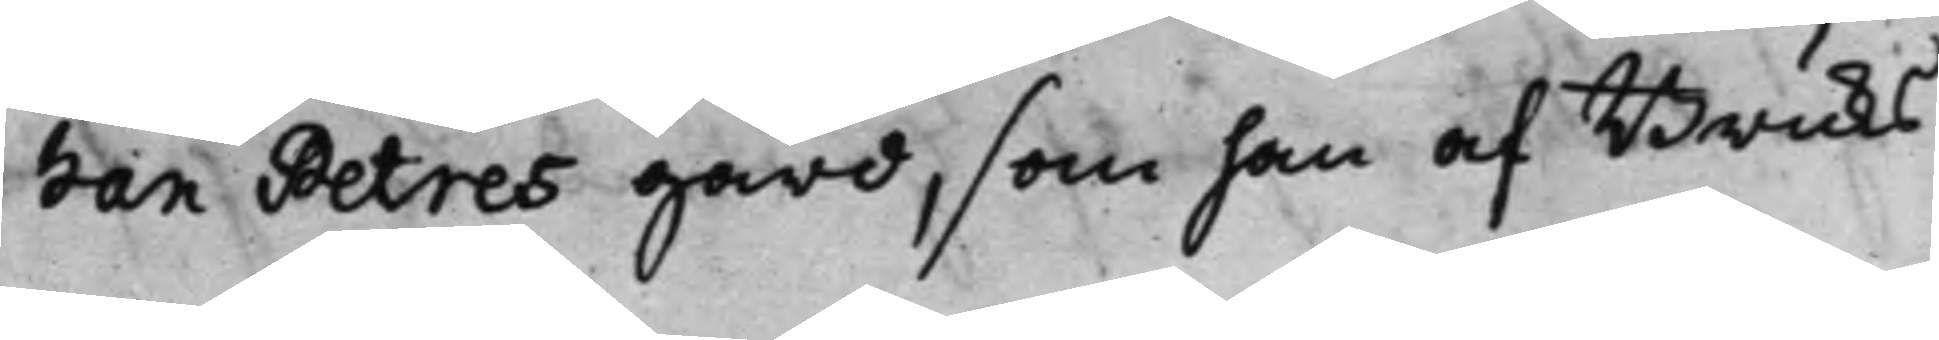han Petres gård, som han af Bruks¬
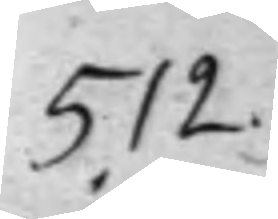512.
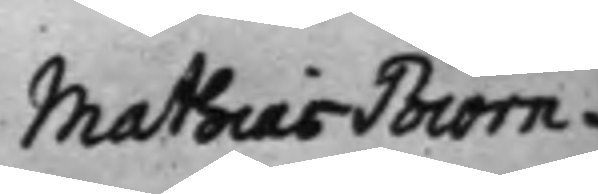Mathias Biörn¬
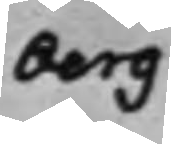berg
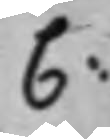C:
